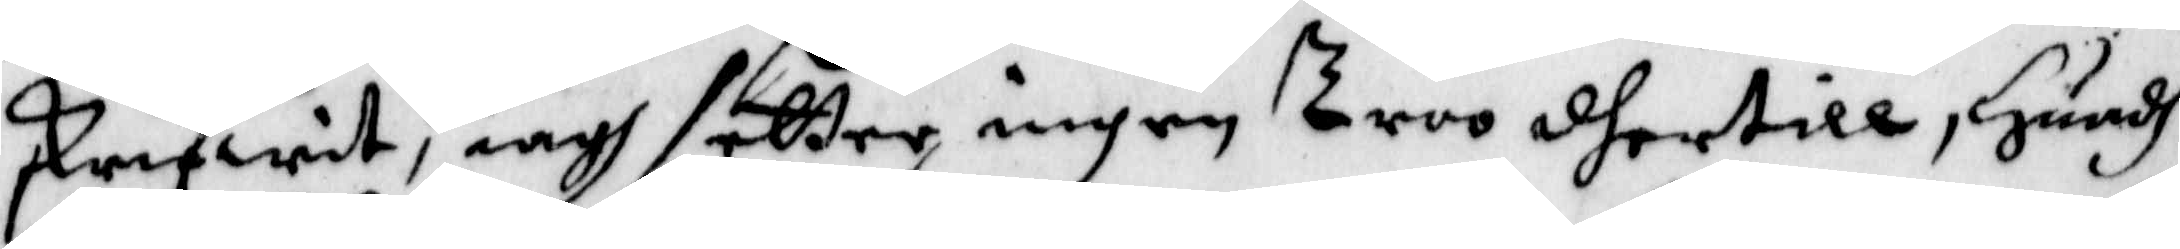skrifwit, iagh setter ingen Troo dhertill, Huadh
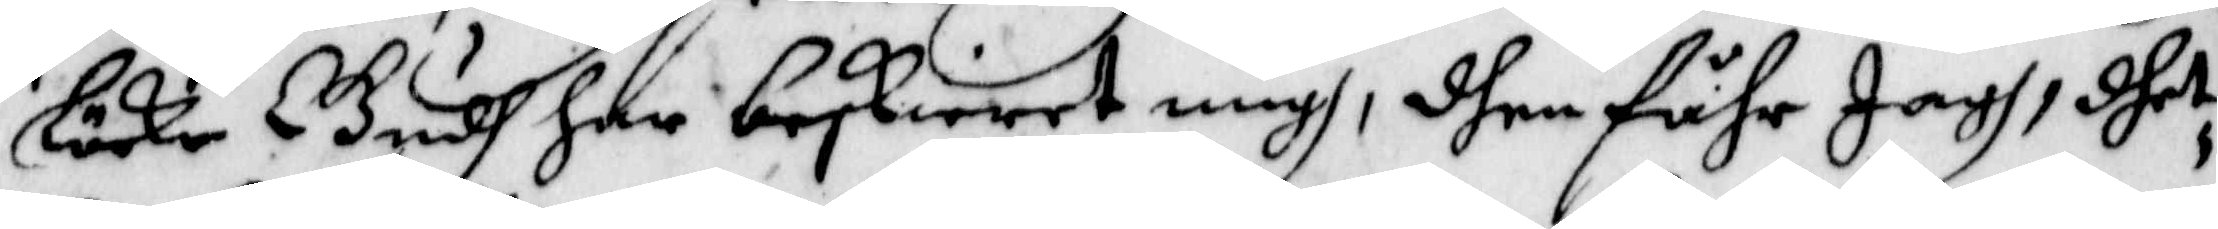¬Löcke Gudh har beskierer migh, dhen Fåhr Jagh, dhet
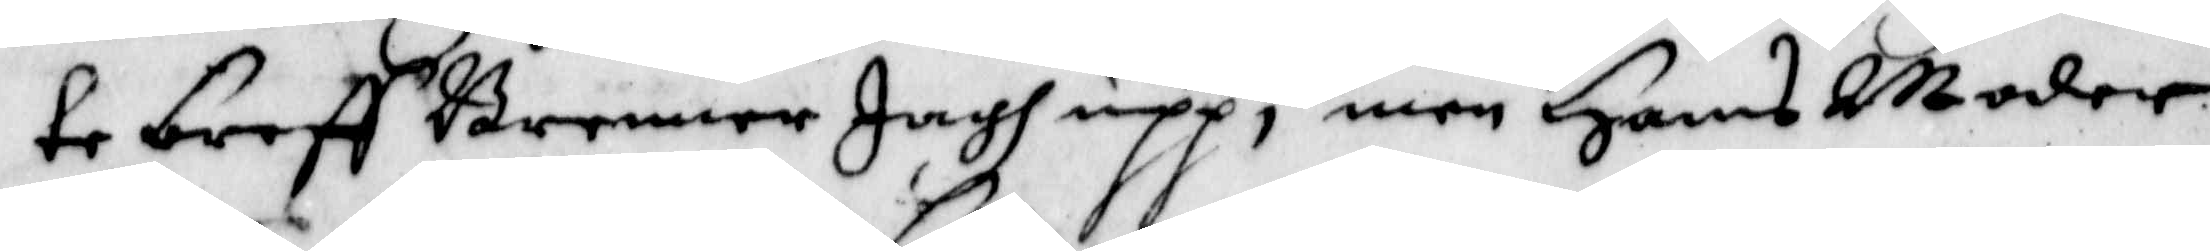te breff Brenner jagh upp; men Hans Moder
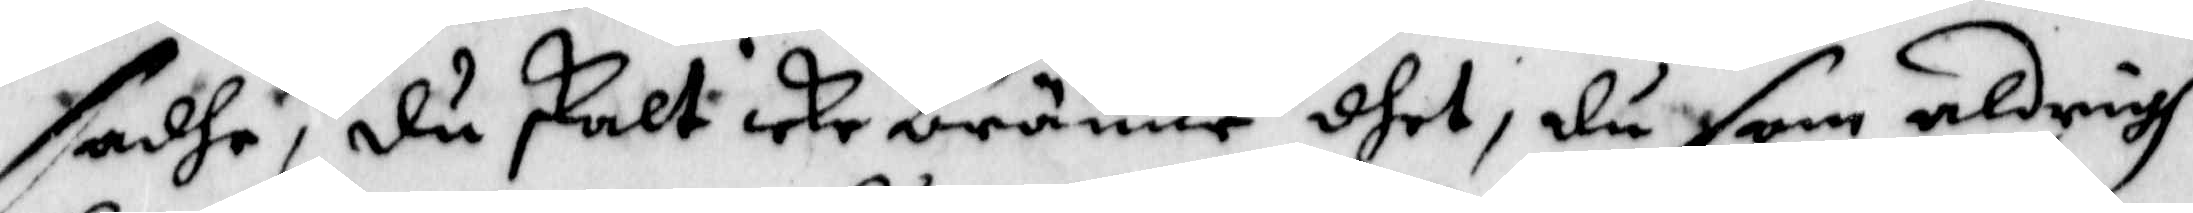sadhe, du skalt icke bränne dhet, du som aldrigh
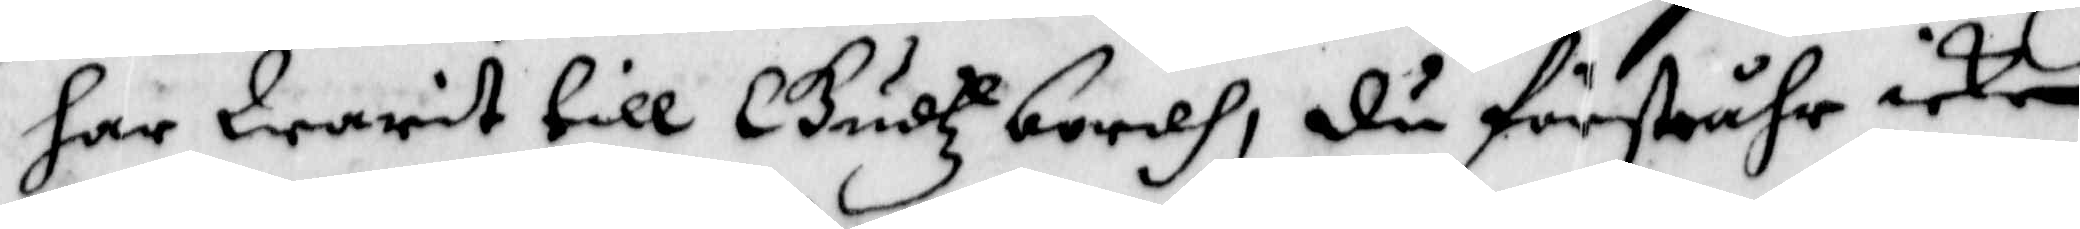har warit till Gudtz bordh, du förståhr icke
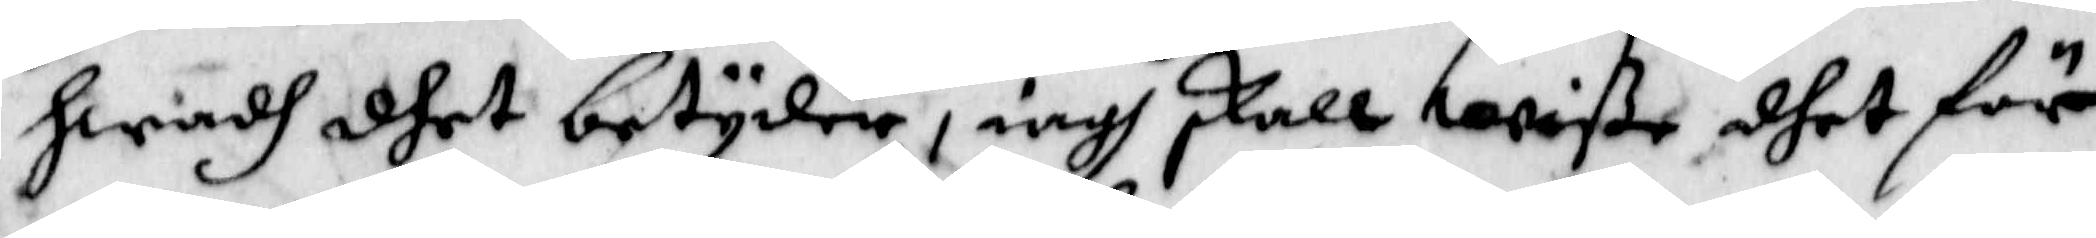hwadh dhet betyder, iagh skall wiße dhet för
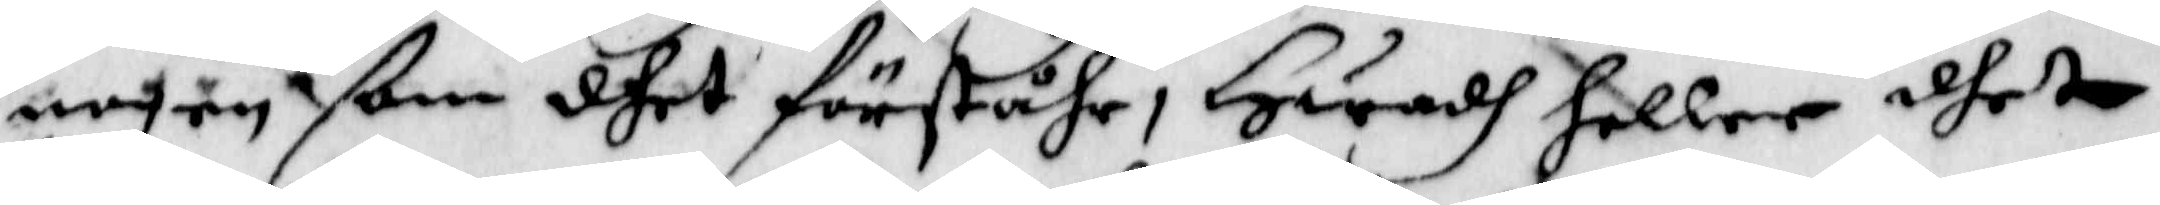nogon ßom dhet förståhr, Hwadh heller det
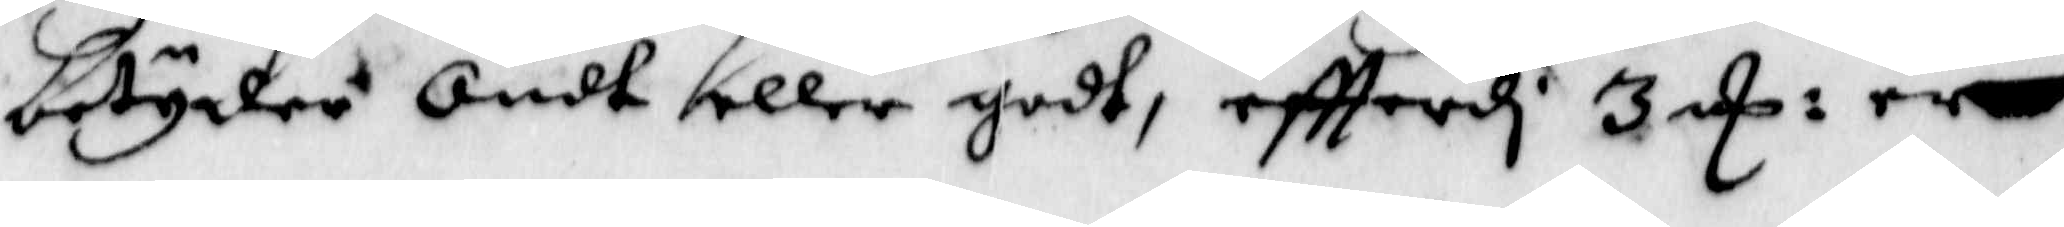betyder Ondt eller godt, eftterdi 3 E: rr
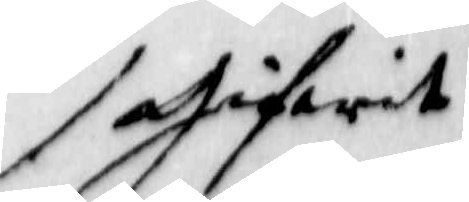gifwit
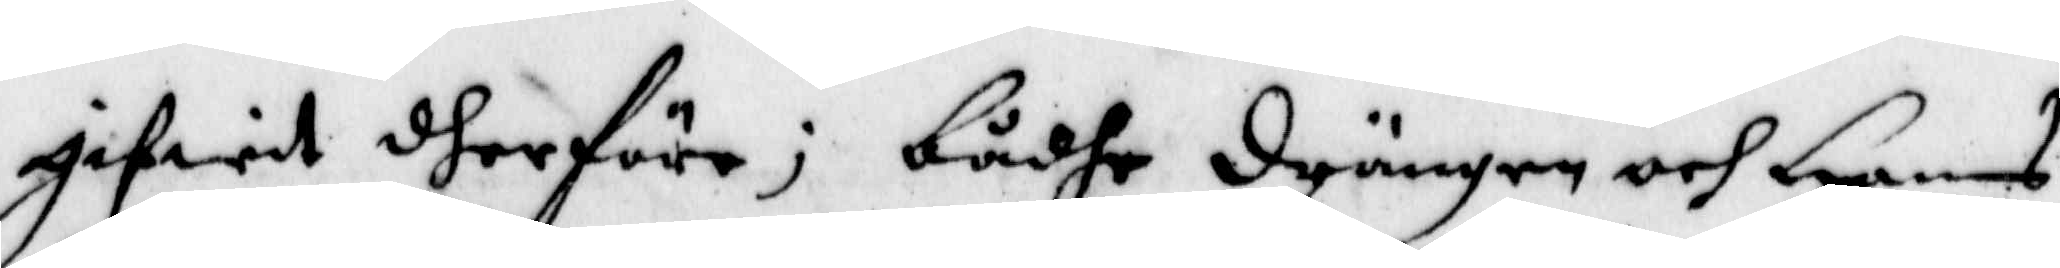gifwit dherföre; bådhe drängen och Hans
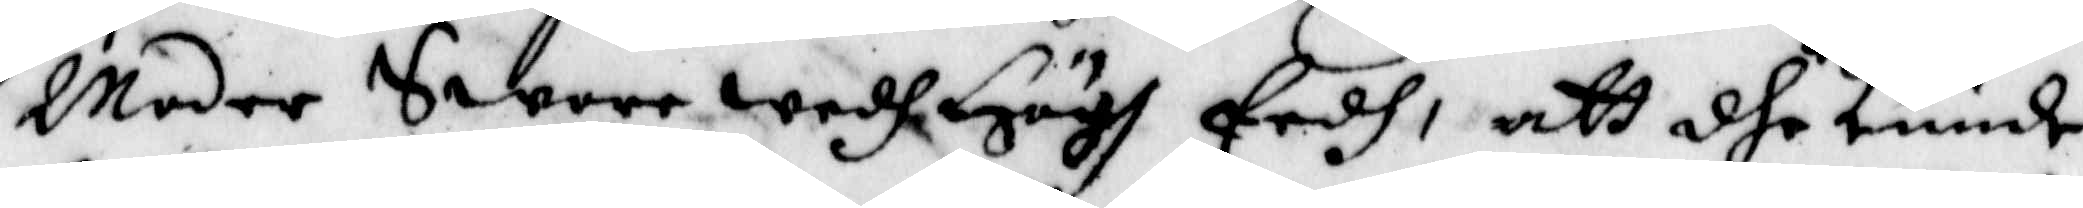Moder Swore medh Högl Eedh, att dhe kunde
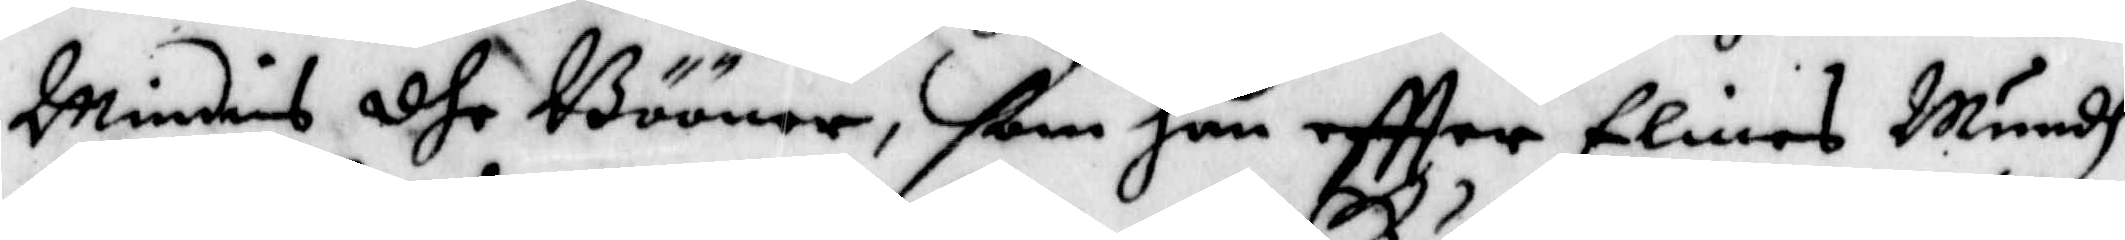Minnies dhe Bööner, ßom han eftter Elins Mundh
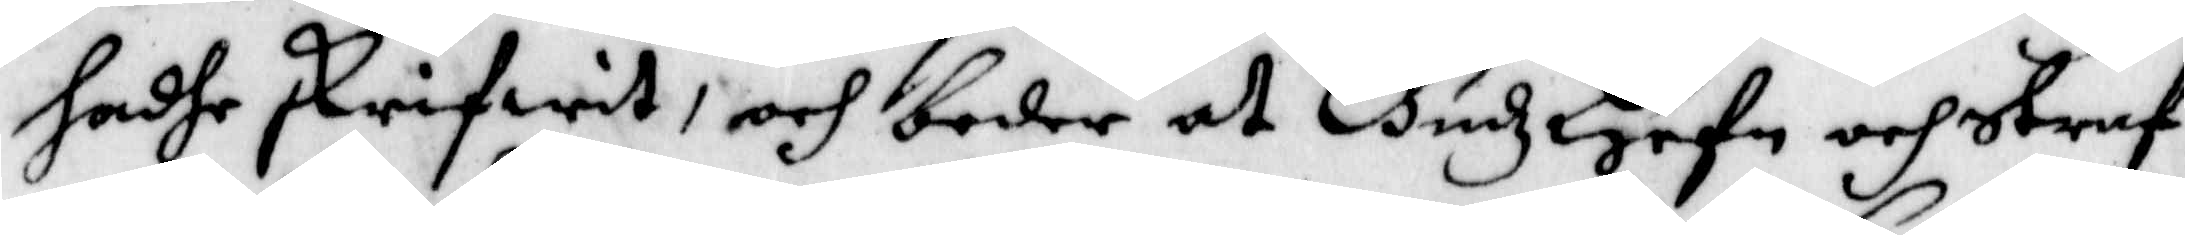hadhe skrifwit, och beder at Gudz Hehn och straf
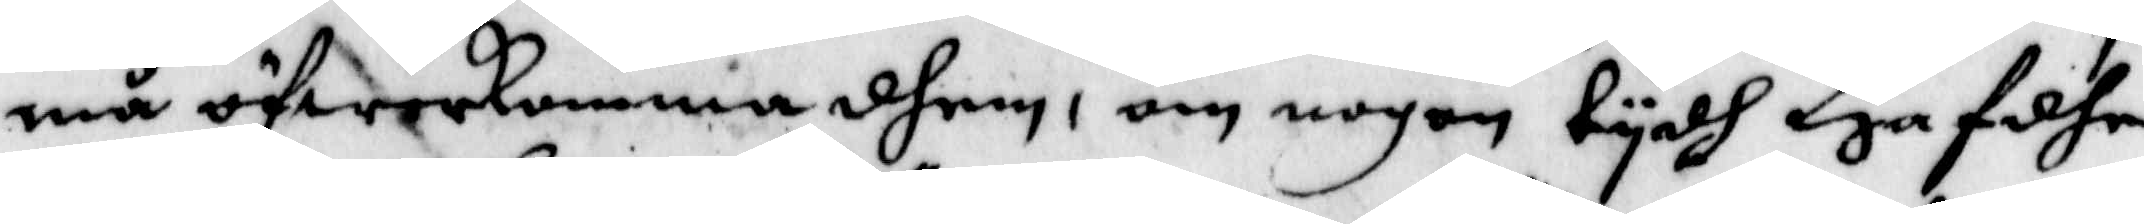må öfwekomma dhem, om nogen tydh Hafdhe
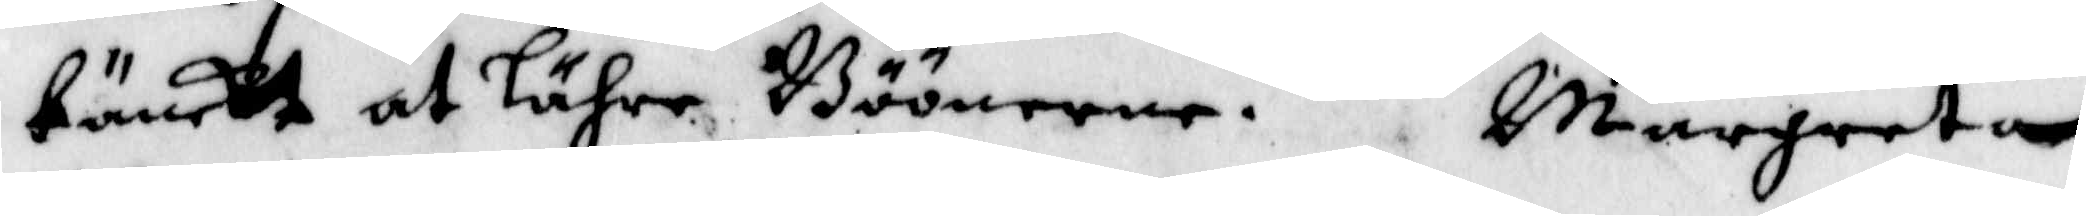tänckt at Lähre Böönerne. margreta
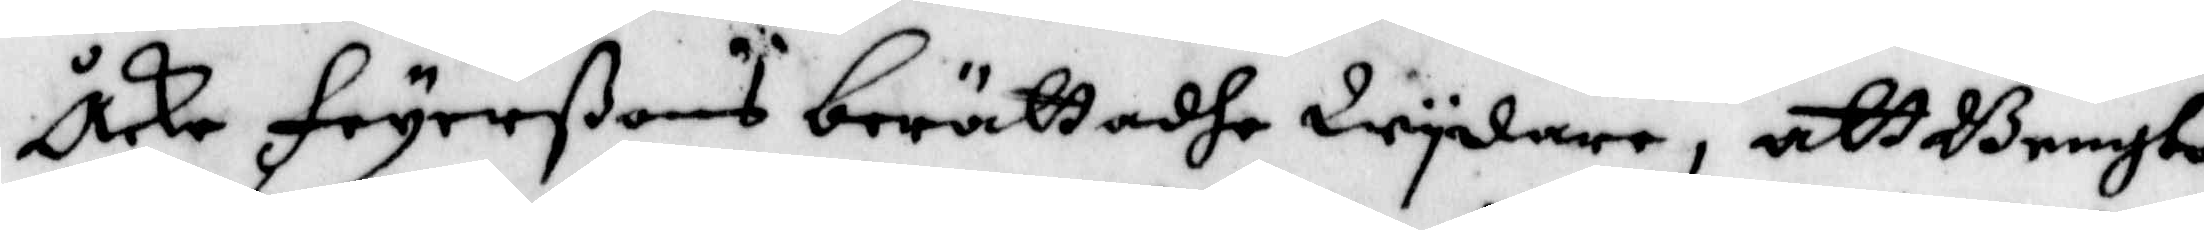Åke Feyerßons berättadhe Wydare, att Bengta
